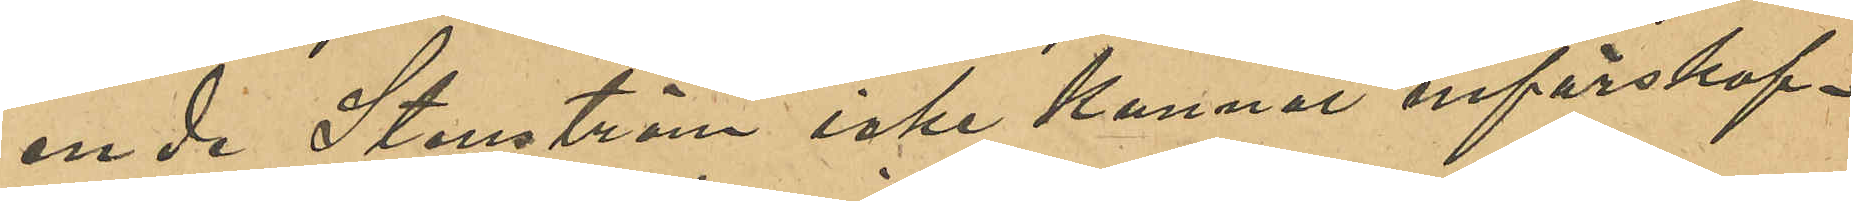ende Stenström icke kunnat införskaf¬
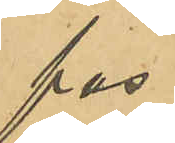fas.
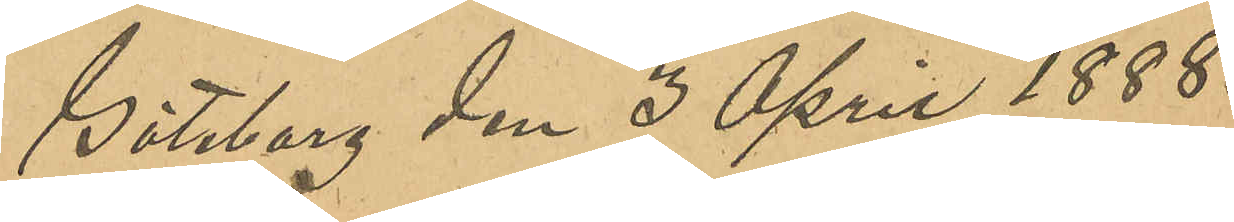Göteborg den 3 April 1888.
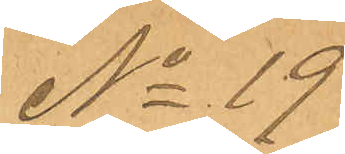No 19
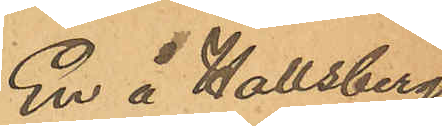En i Hallsbergs
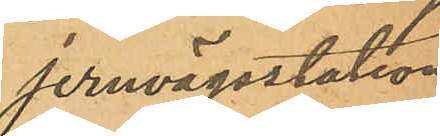jernvägsstation
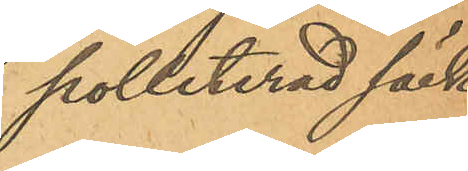polleterad säck
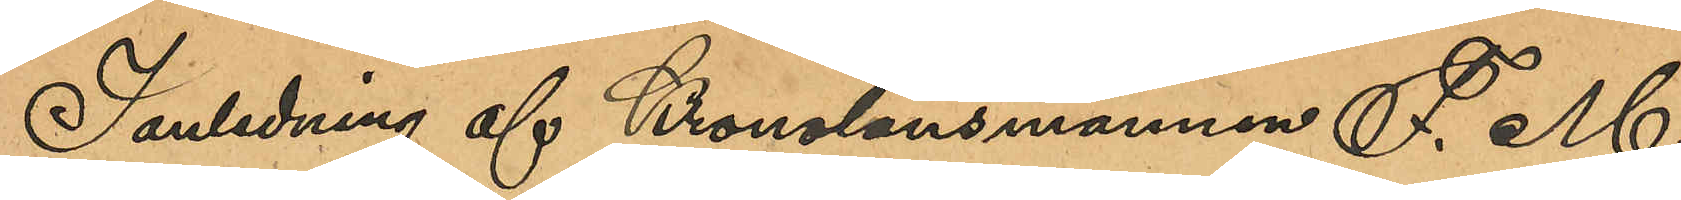I anledning af Kronolänsmannen F. M.
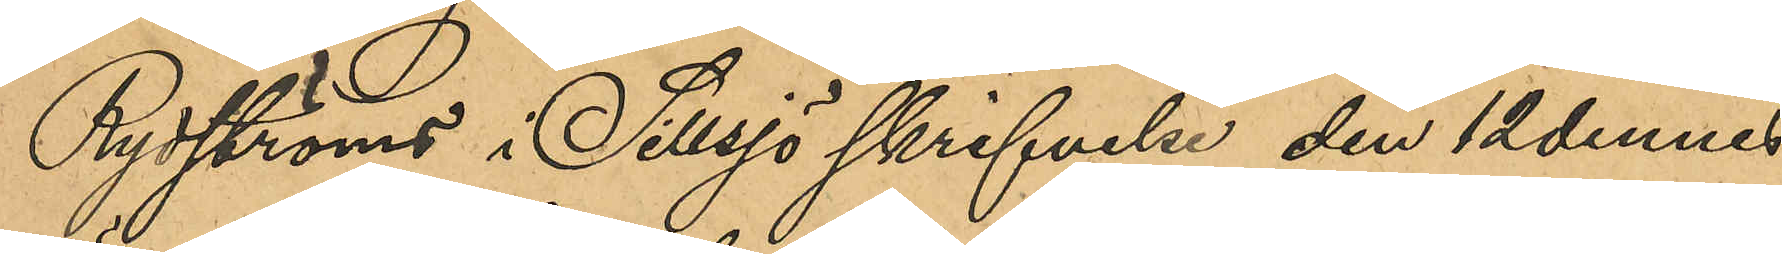Rydströms i Sillsjö skrifvelse den 12 dennes
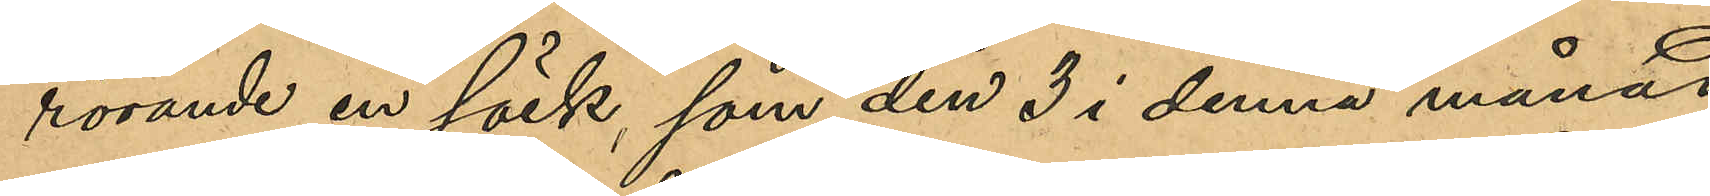rörande en säck, som den 3 i denna månad
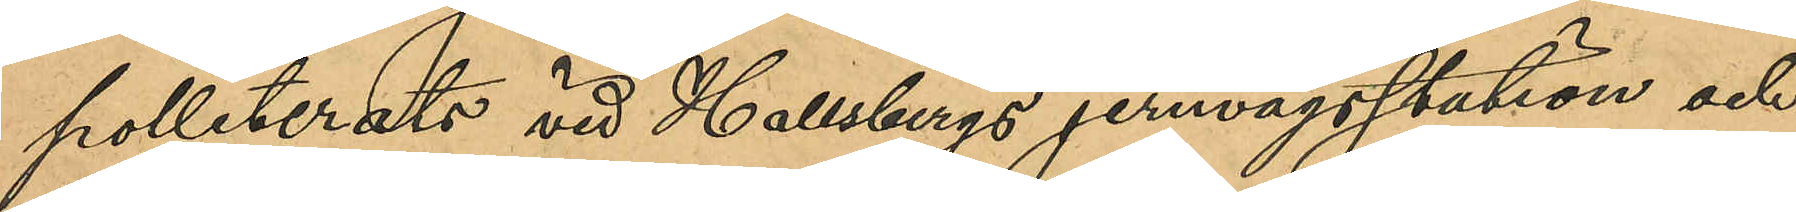polleterats vid Hallsbergs jernvägsstation och
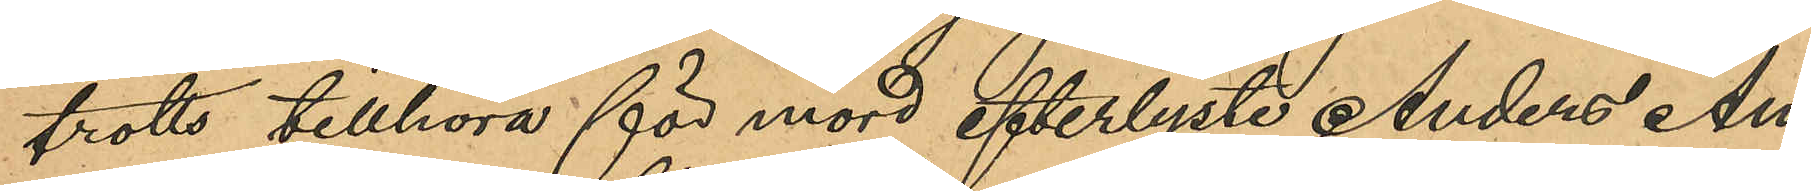trotts tillhöra för mord efterlyste Anders An¬
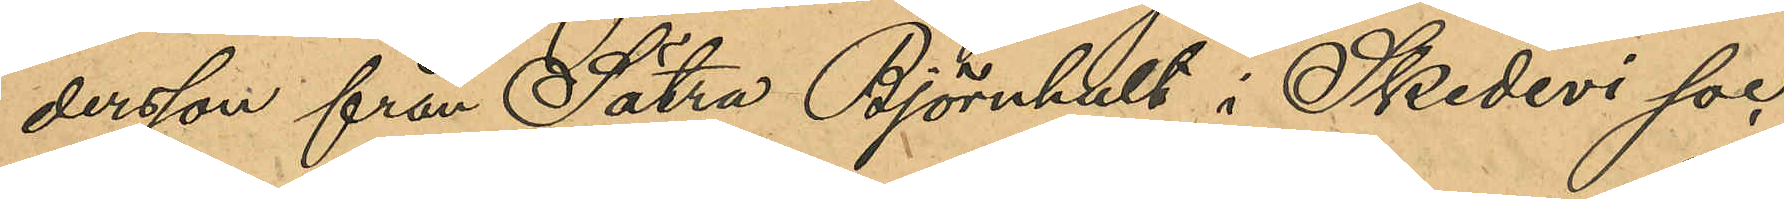dersson från Sätra Björnhult i Skedevi soc¬
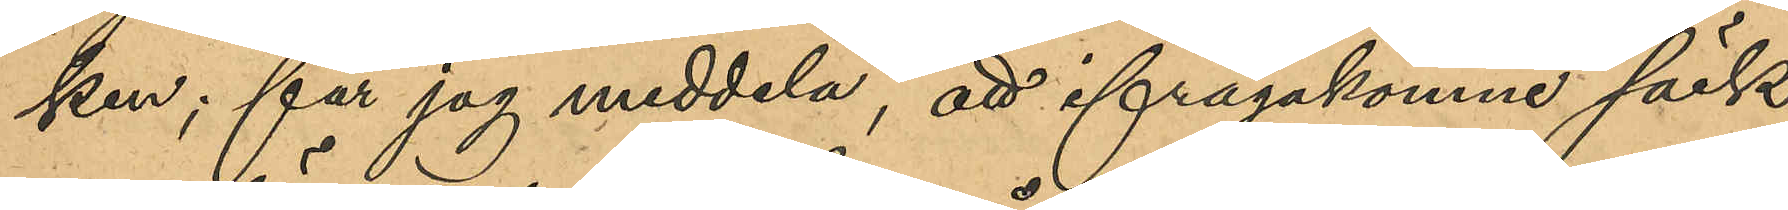ken; får jag meddela, att ifrågakomne säck
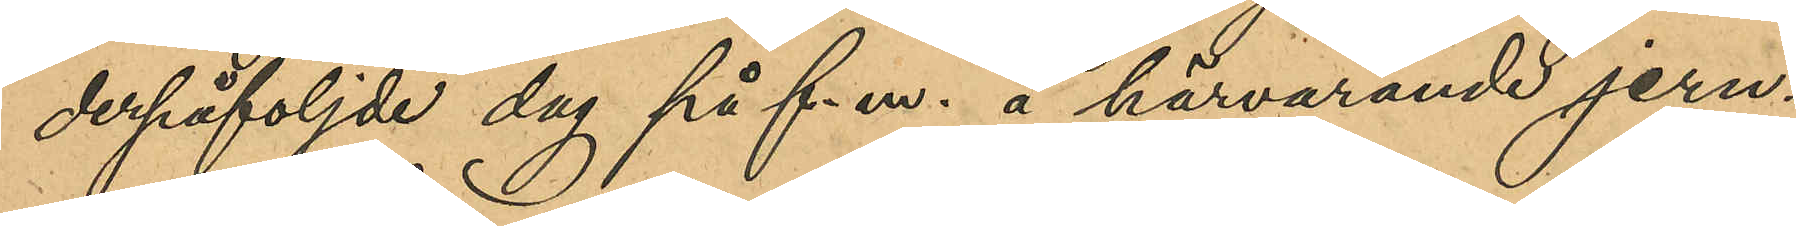derpåföljde dag på f. m. å härvarande jern¬
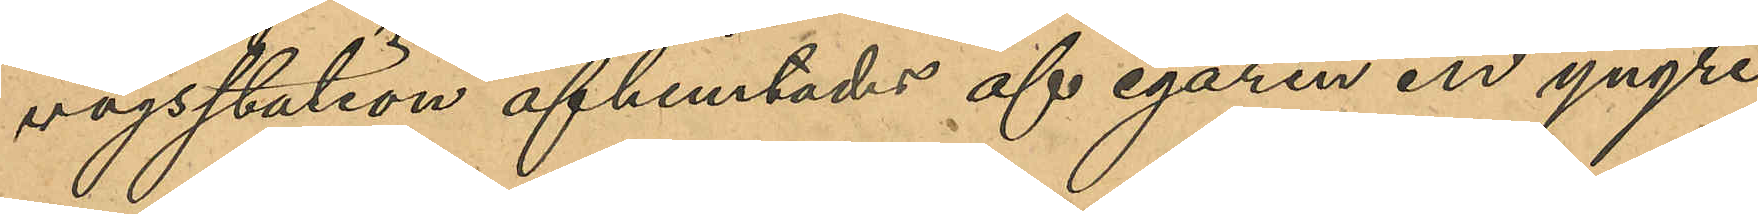vägsstation afhemtades af egaren en yngre
